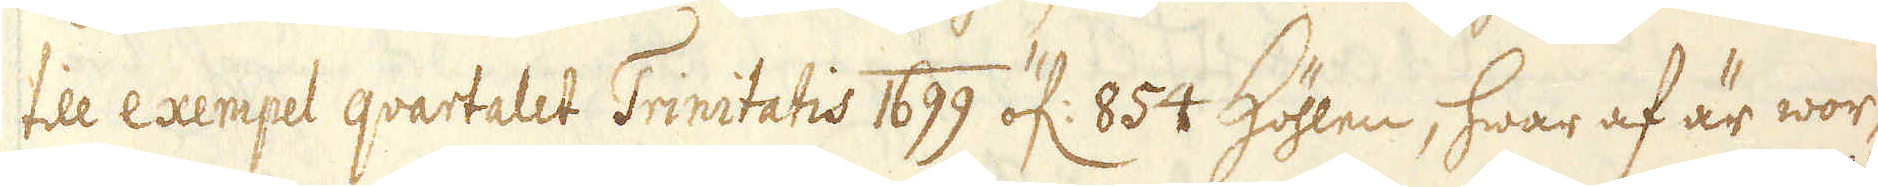till exempel qvartalet Trinitatis 1699 öf: 854 Höhlen, hwar af är wor-
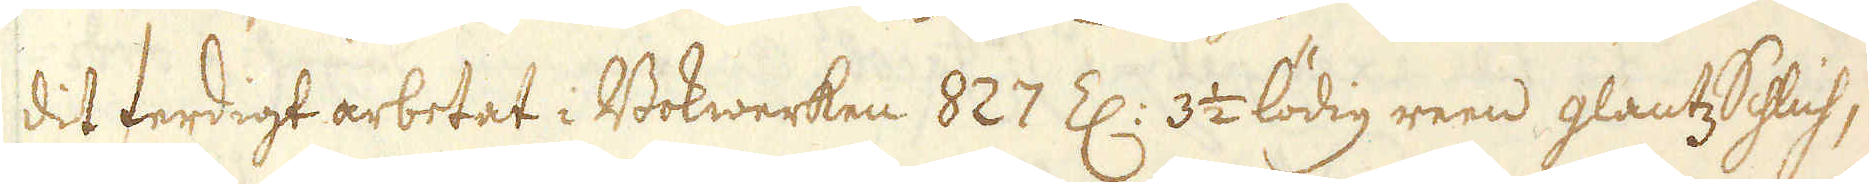dit ferdigt arbetat i Bokwerken 827 Z: 3 1/2 lödig reen glantz Schlich,
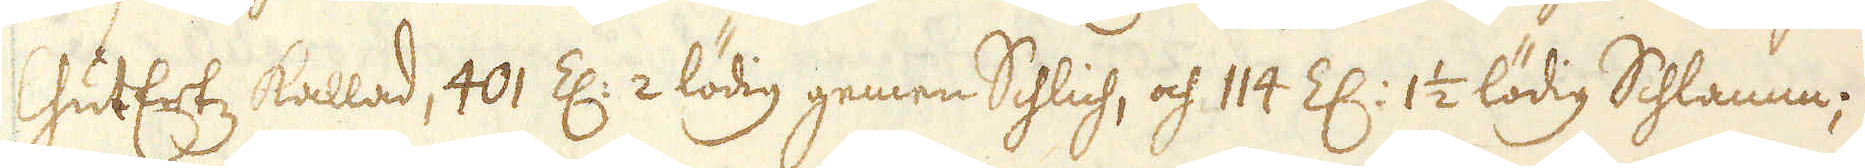GutErtz kallad, 401 Z: 2 lödig gemen Schlich, och 114 Z: 1 1/2 lödig Schlamm;
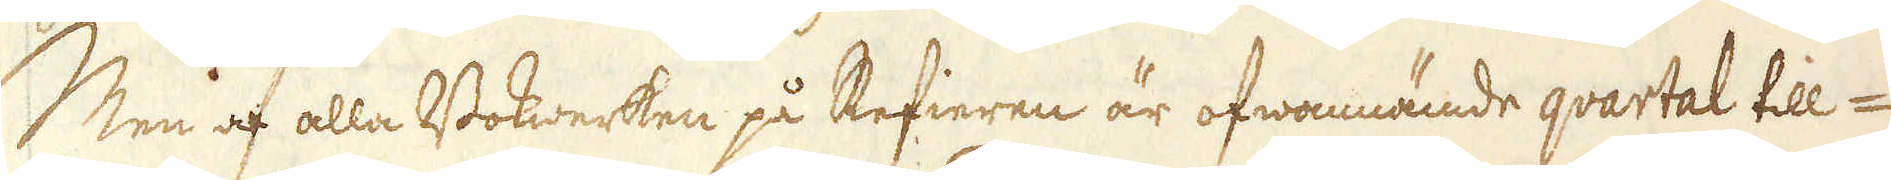Men af alla Bokwerken på Refieren är ofwannämde qvartal till-
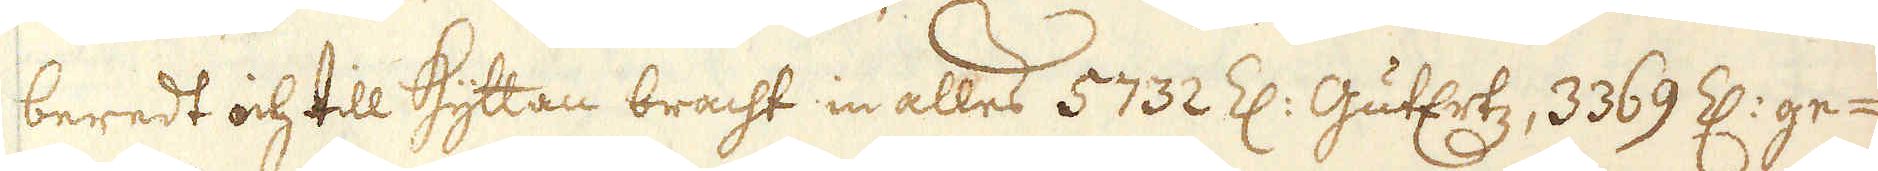beredt och till Hyttan bracht in alles 5732 Z: GutErtz, 3369 Z: ge-
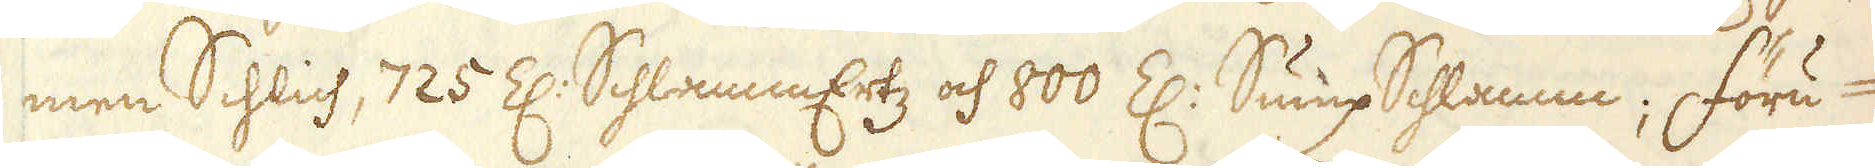men Schlich, 725 Z: SchlammErtz och 800 Z: Sump Schlamm; Föru-
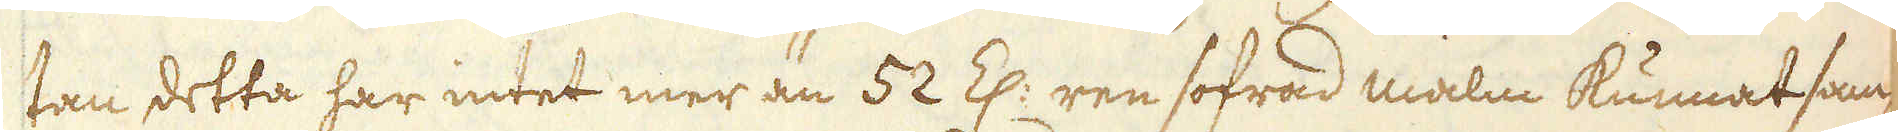tan detta har intet mer än 52 Z: ren sofrad malm kunnat sam-
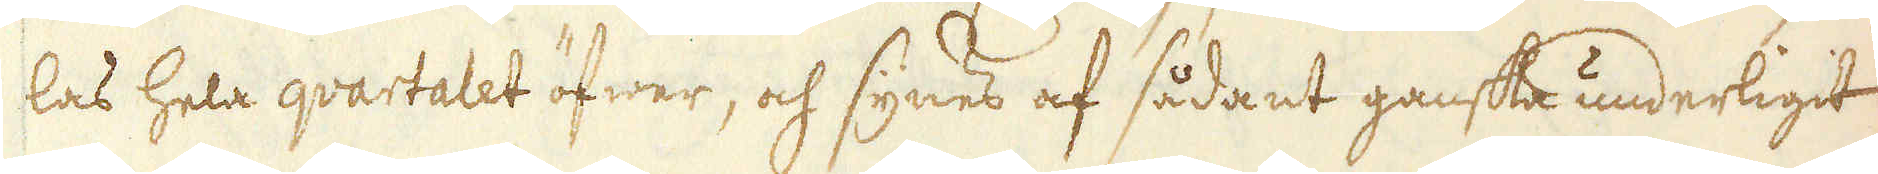las hela qvartalet öfwer, och synes af sådant ganska underligit
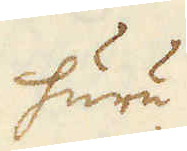huru
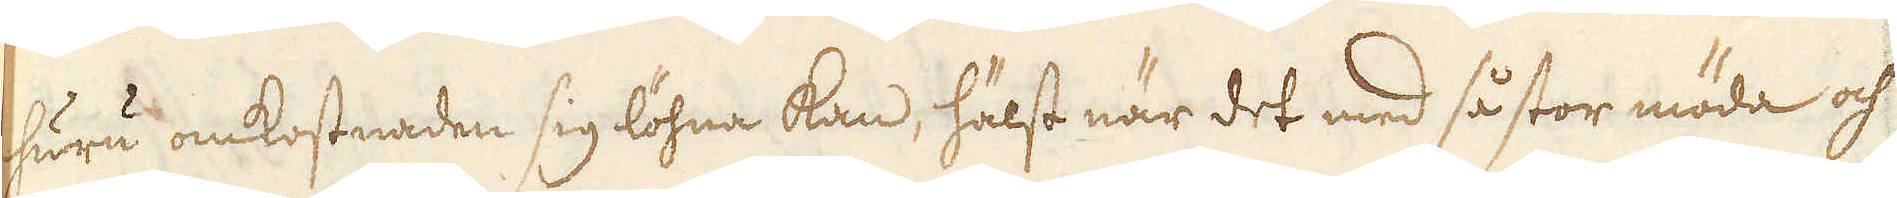huru omkostnaden sig löhna kan, hälst när det med så stor möda och
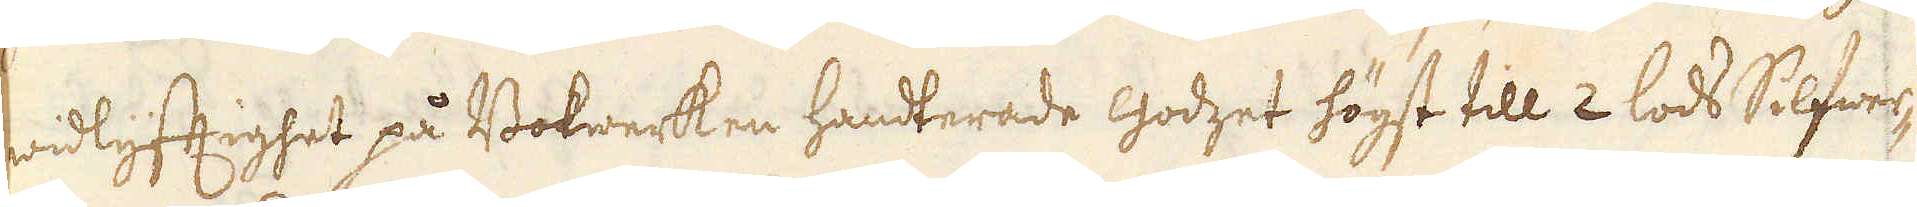widlyfftighet på Bokwerken handterade godzet högst till 2 lods Silfwer-
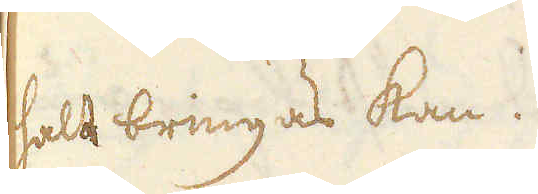halt bringas kan.
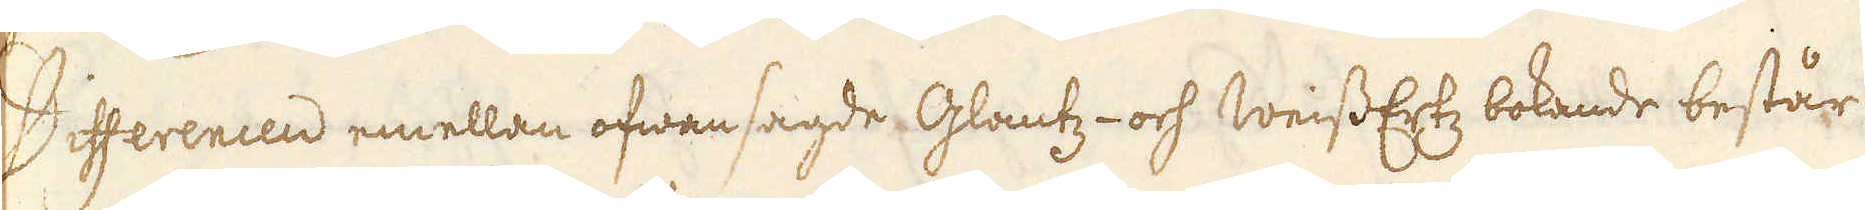Differencen emellan ofwansagde Glantz- och WeissErtz bokande består
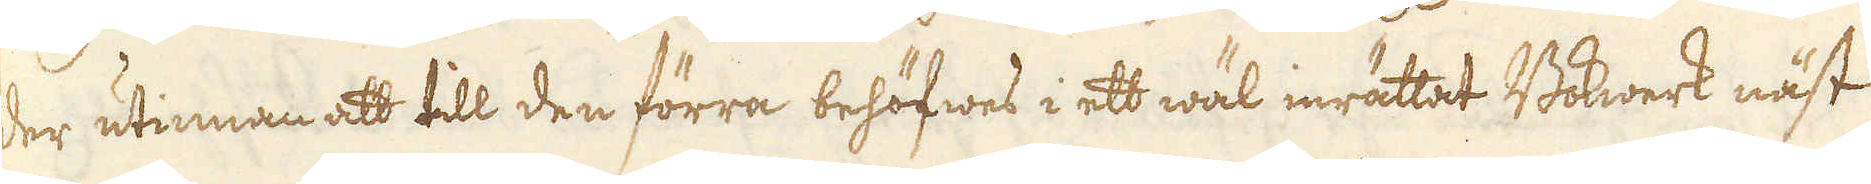der utinnan att till den förra behöfwes i ett wäl inrättat Bokwerk näst
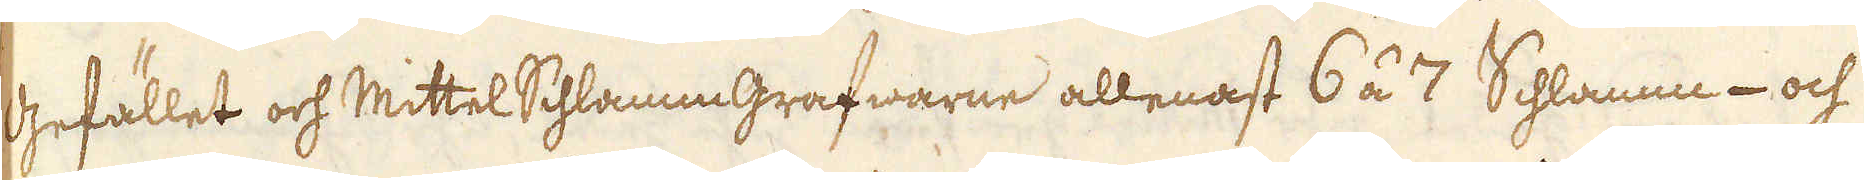Gefället och Mittel Schlamm grafwarne allenast 6 á 7 Schlamm- och
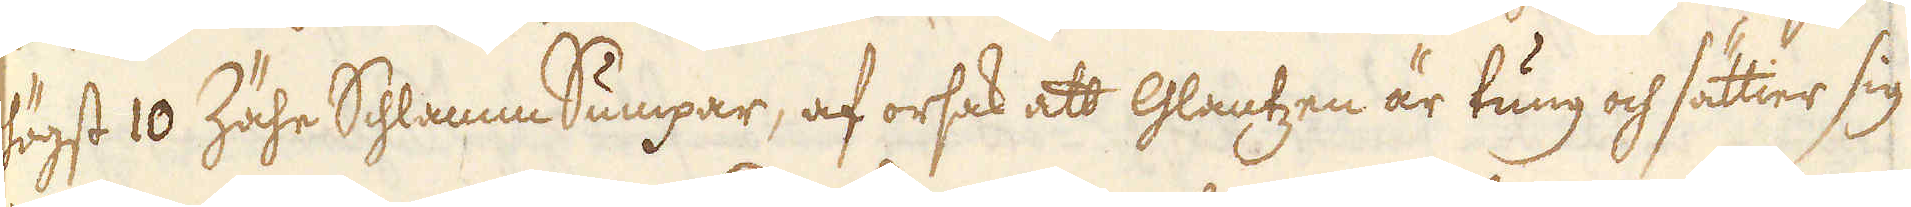högst 10 Zähe Schlamm Sumpar, af orsak att Glantzen är tung och sättier sig
